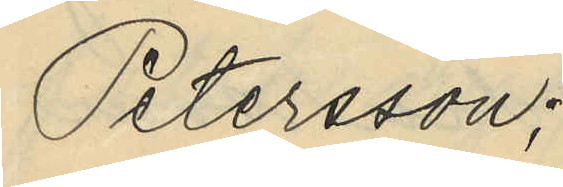Petersson;
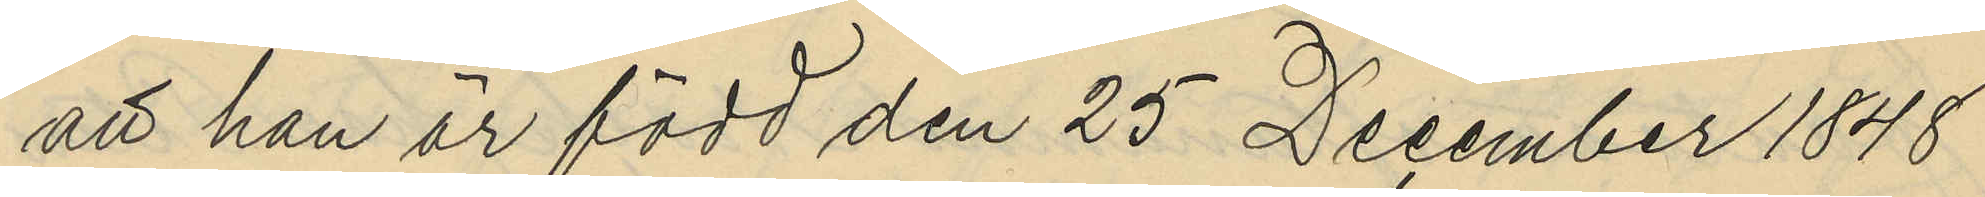att han är född den 25 December 1848
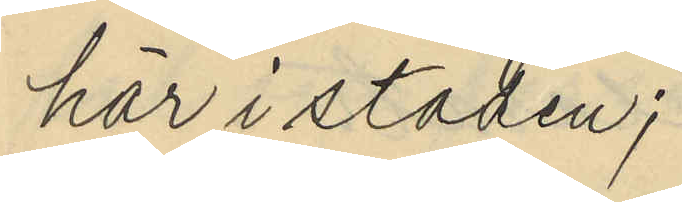här i staden;
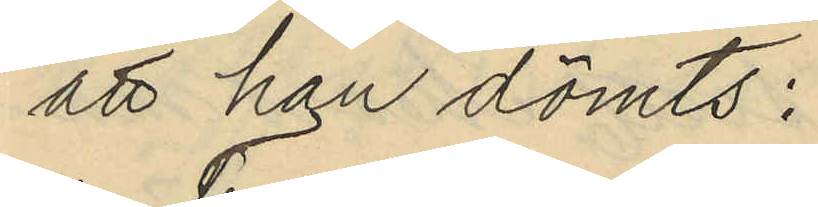att han dömts:
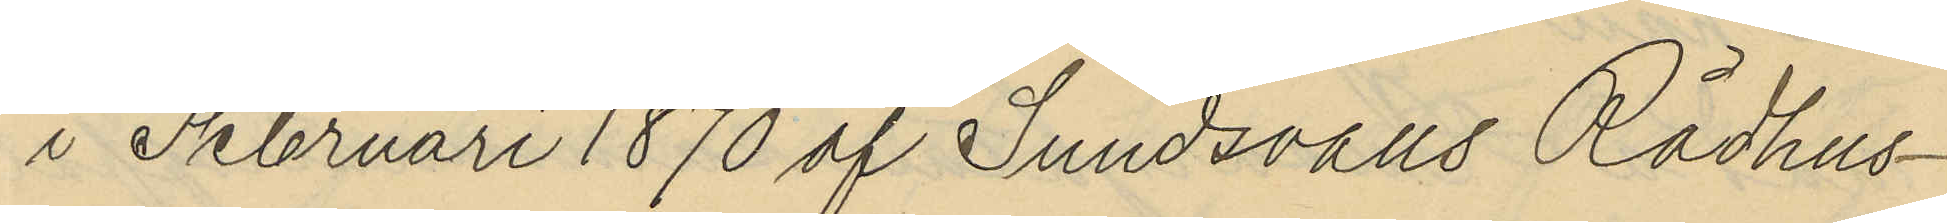i Februari 1870 af Sundsvalls Rådhus¬
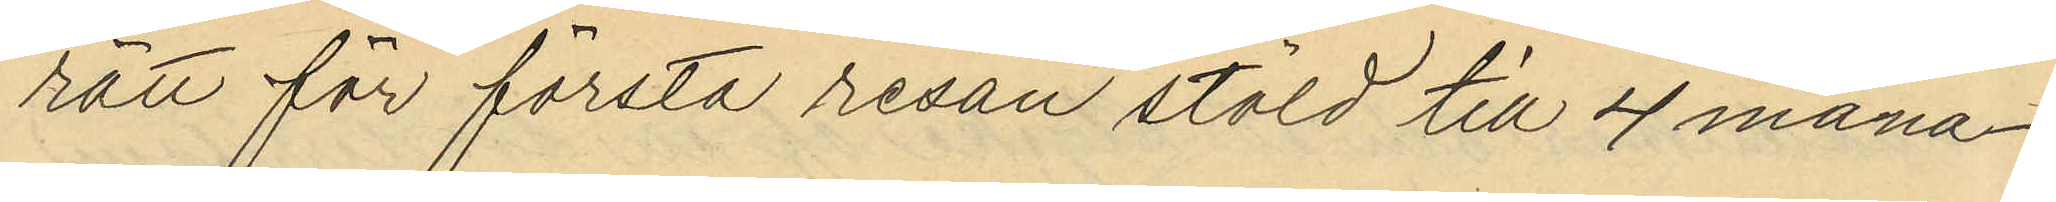rätt för första resan stöld till 4 måna¬
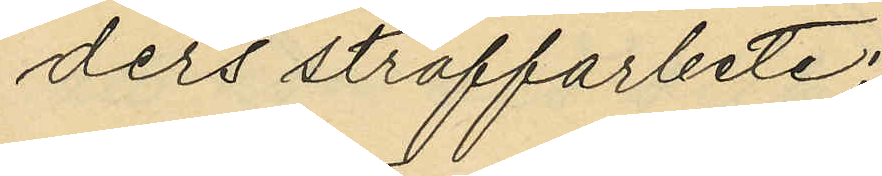ders straffarbete;
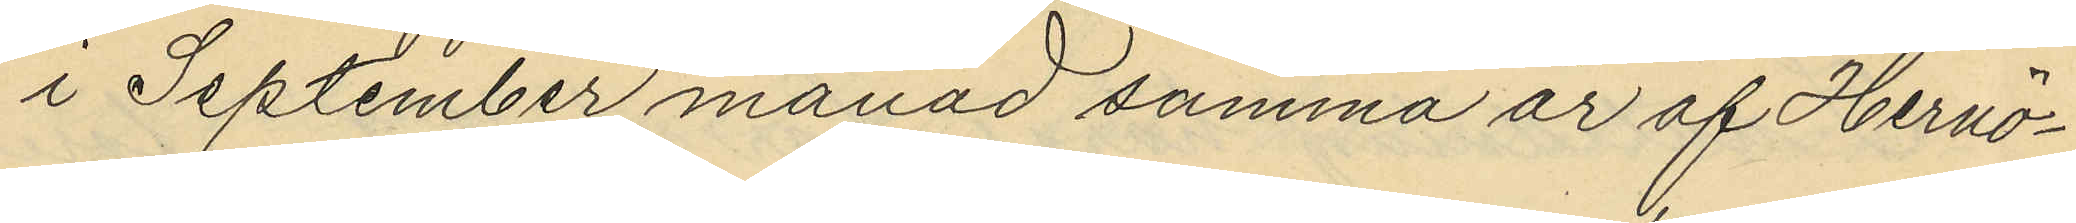i September månad samma år af Hernö¬
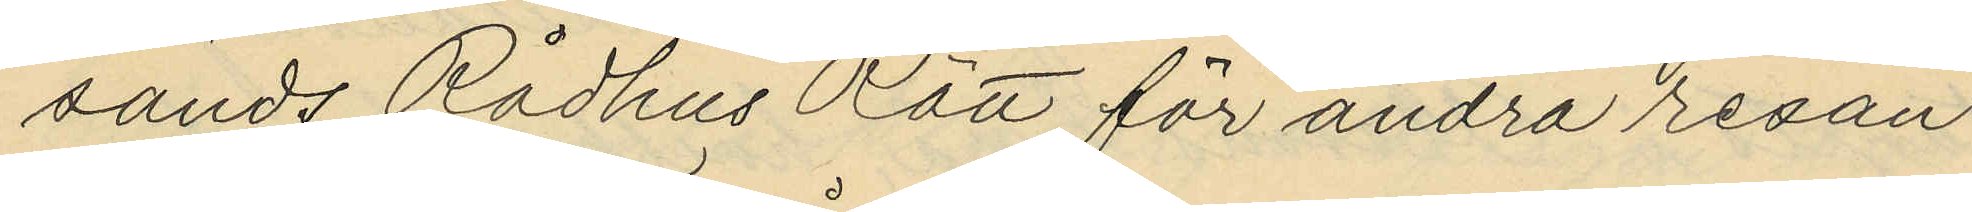sands Rådhus Rätt för andra resan
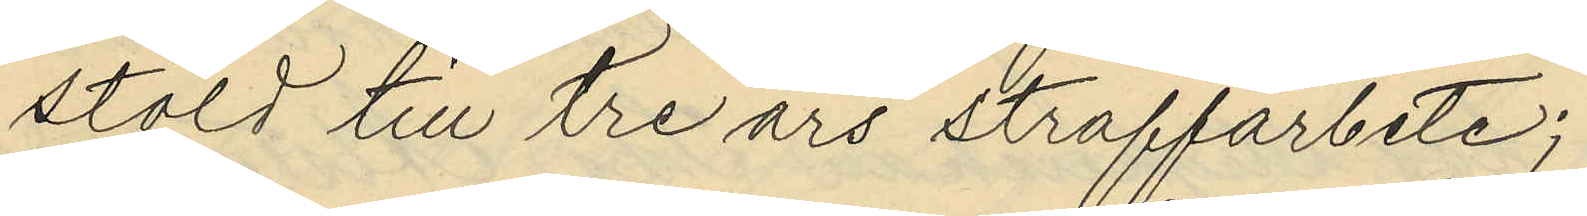stöld till tre års straffarbete;
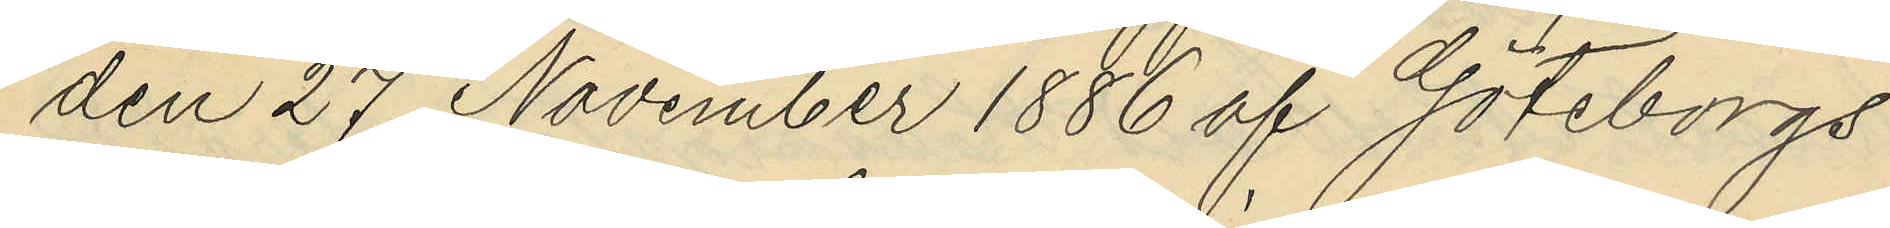den 27 November 1886 af Göteborgs
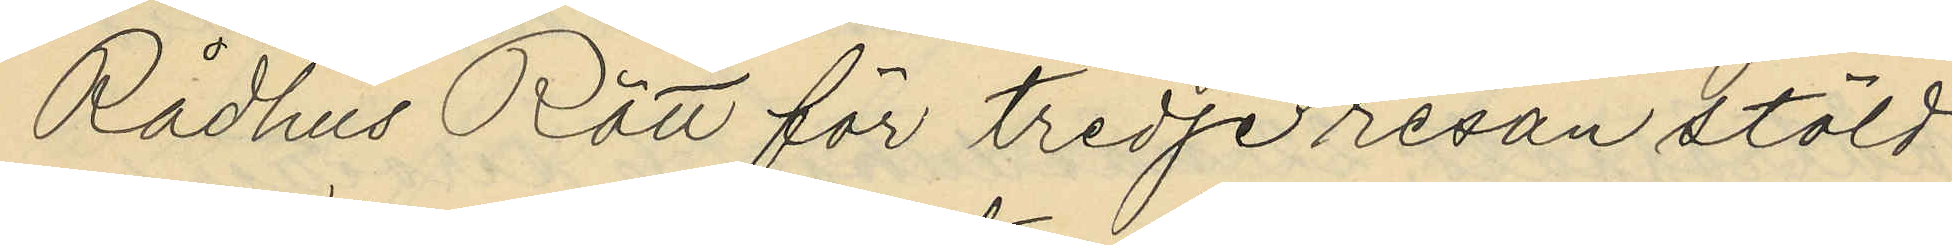Rådhus Rätt för tredje resan stöld
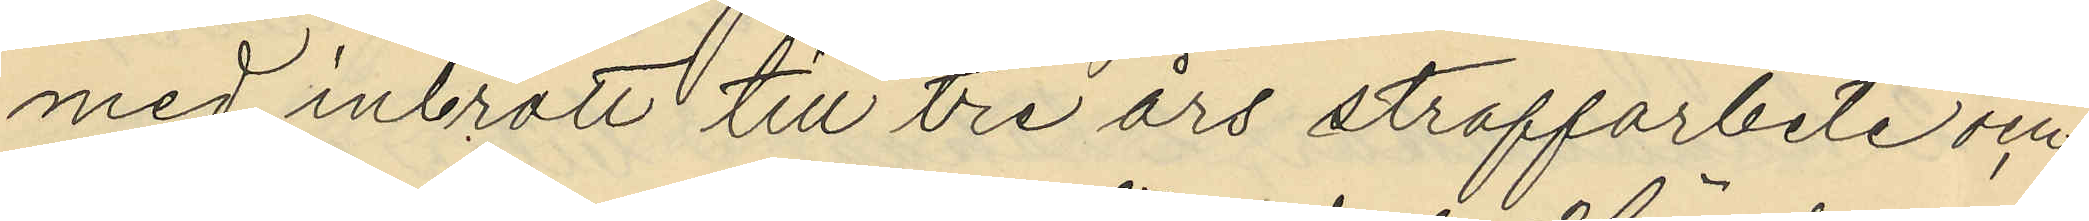med inbrott till tre års straffarbete och
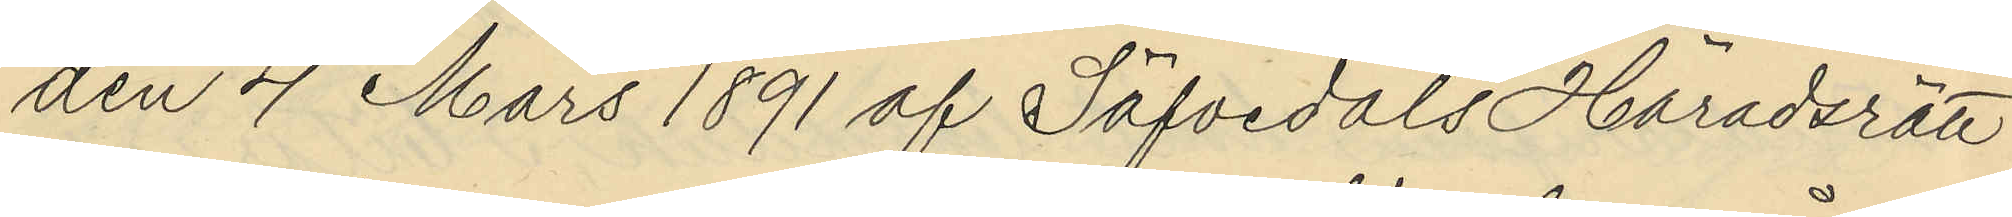den 4 Mars 1891 af Säfvedals Häradsrätt
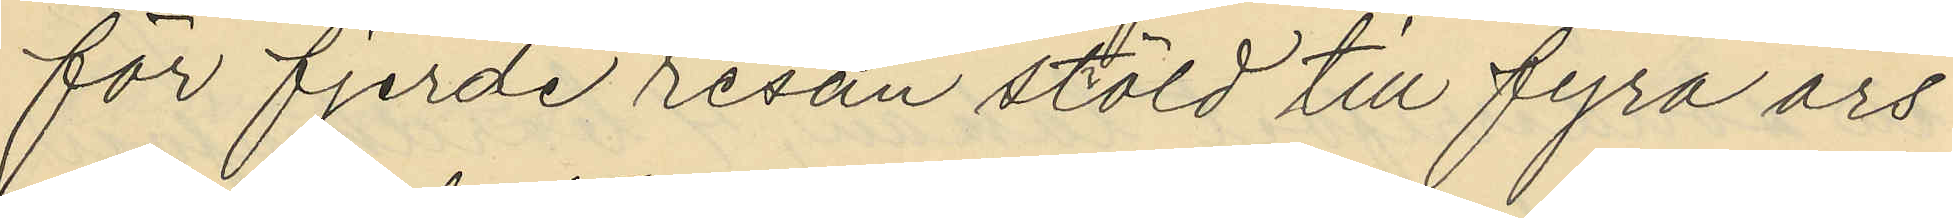för fjerde resan stöld till fyra års
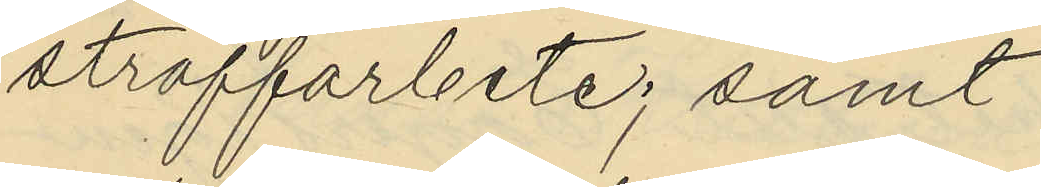straffarbete; samt
